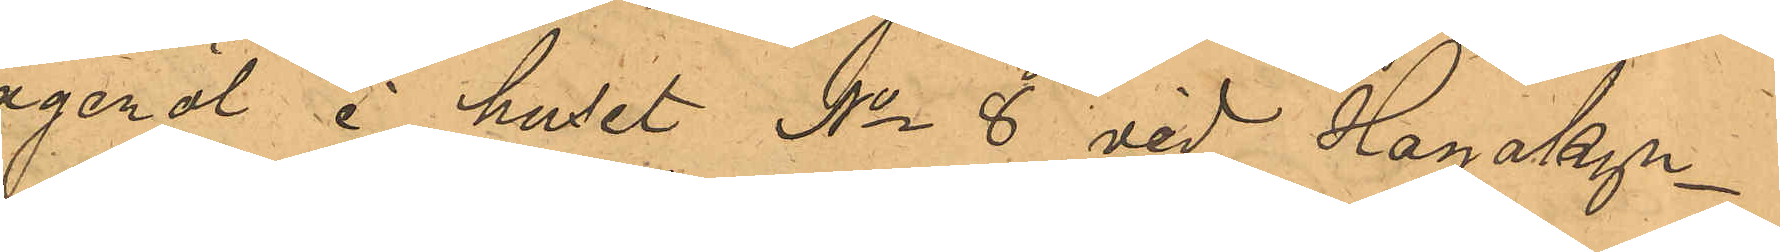lageröl i huset No 8 vid Hagakyr¬
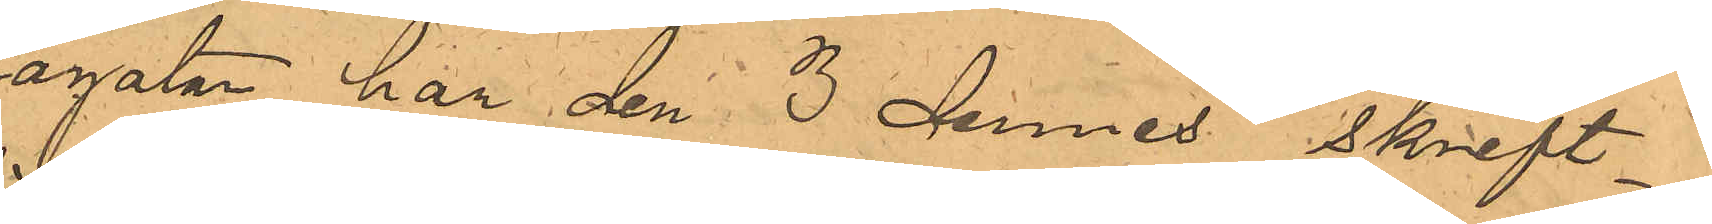kagatan har den 3 dennes skrift¬
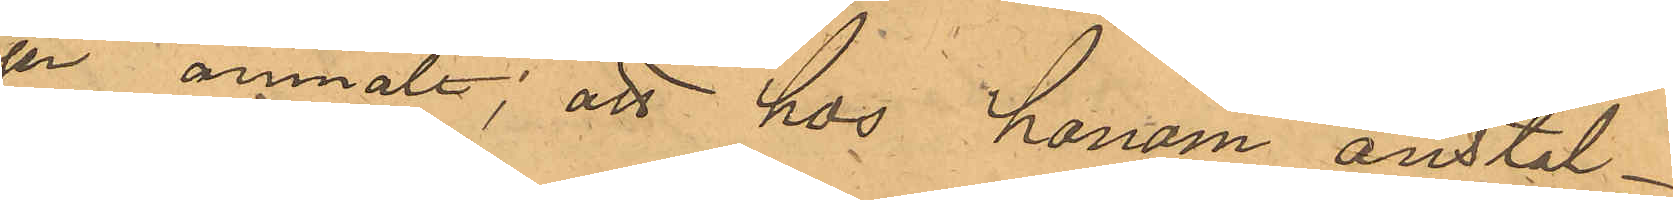ligen anmält; att hos honom anstäl¬
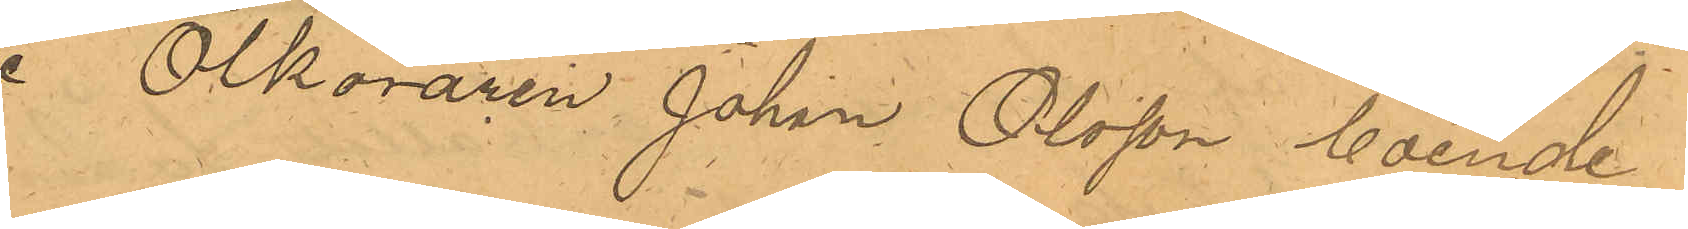de Ölköraren Johan Olsson boende
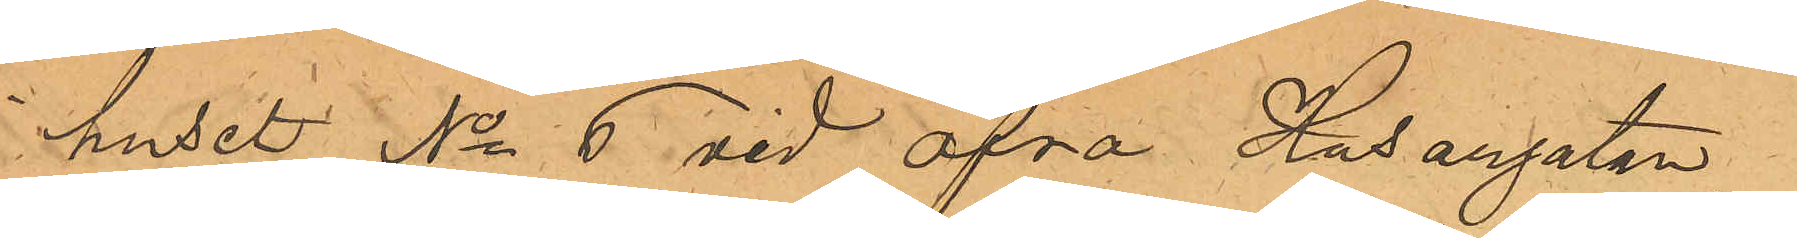i huset No 6 vid Öfra Husargatan
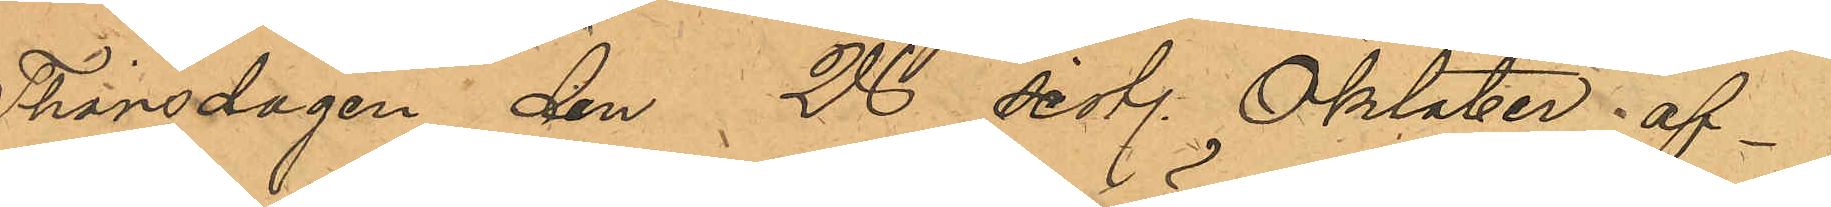Thorsdagen den 28 sist. Oktober af¬
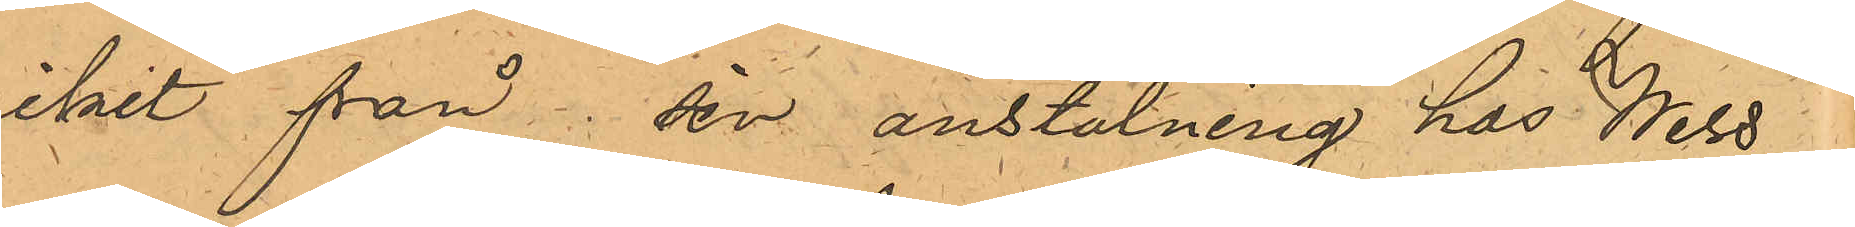vikit från den anställning hos Wess¬
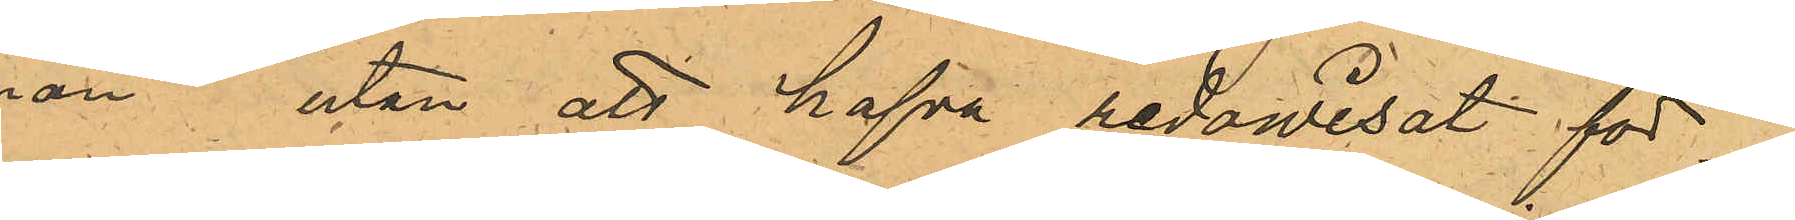man utan att hafva redowisat för
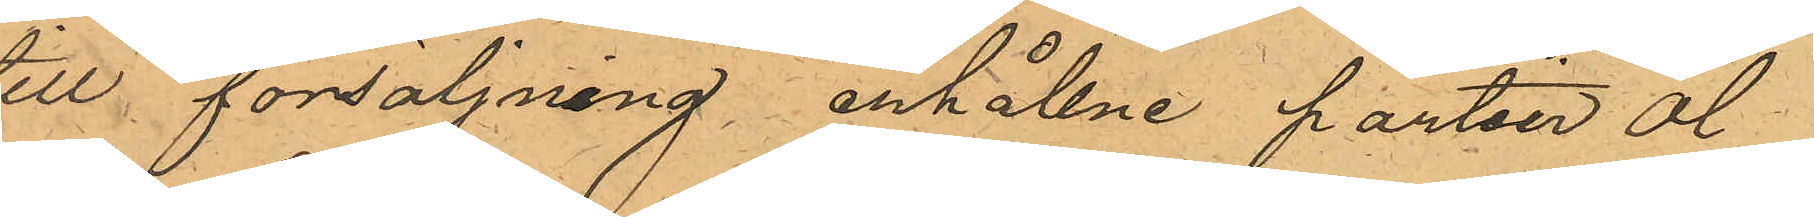till försäljning erhållne partier öl
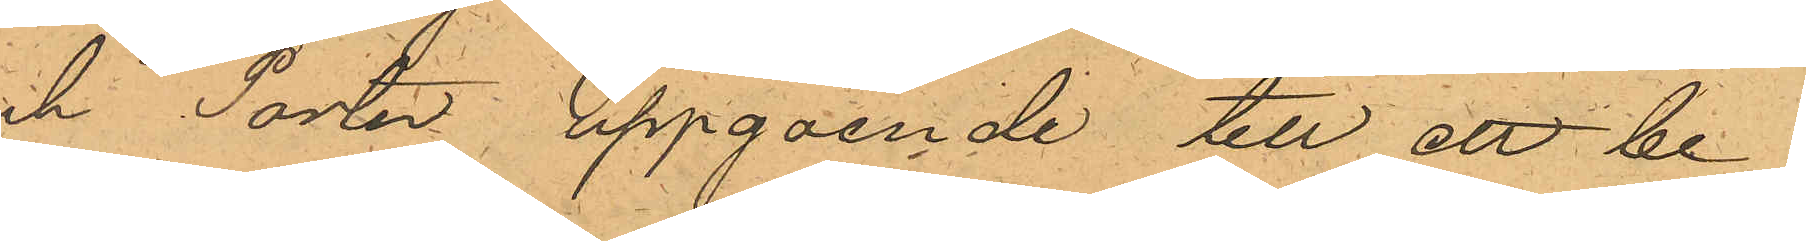och Porter, uppgående till ett be¬
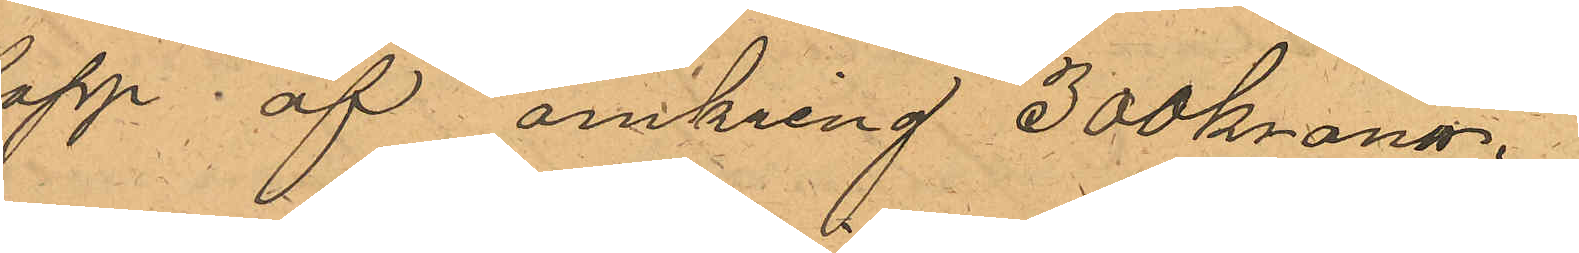lopp af omkring 300 kronor.
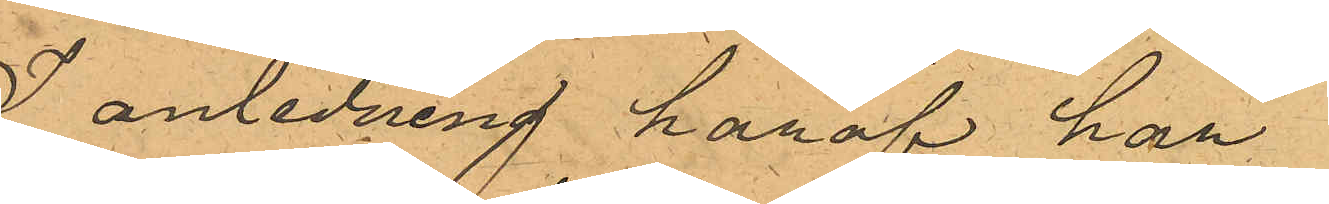I anledning häraf har
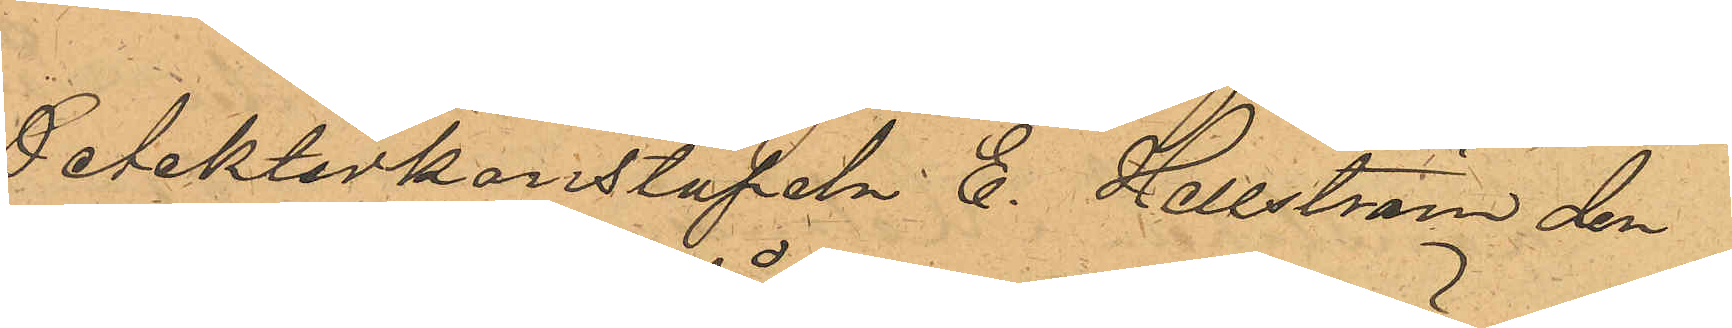Detektivkonstapeln C. Hellström den
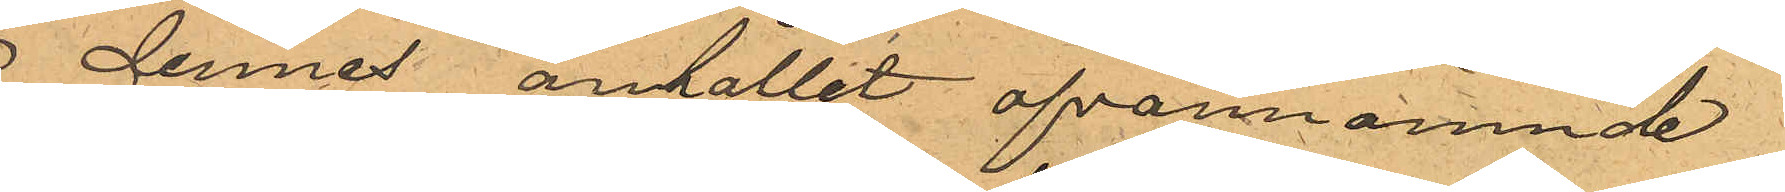8 dennes anhållit ofvannämnde
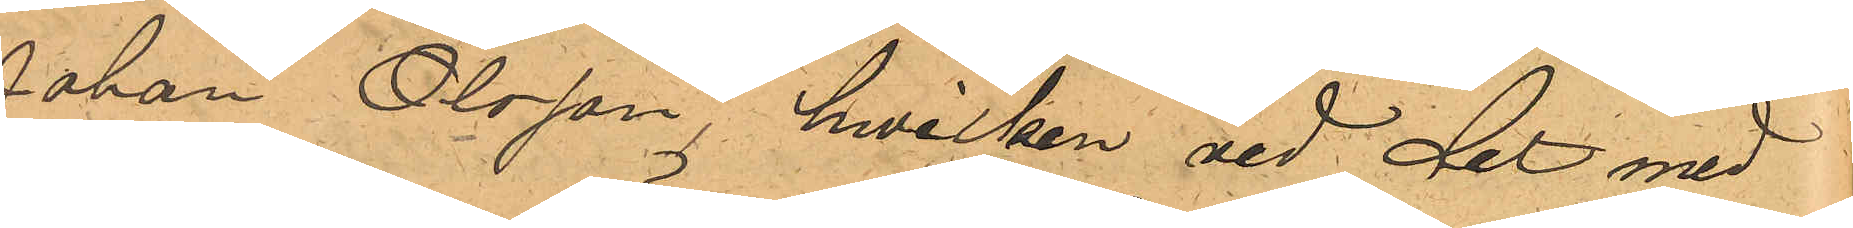Johan Olsson, hvilken vid det med
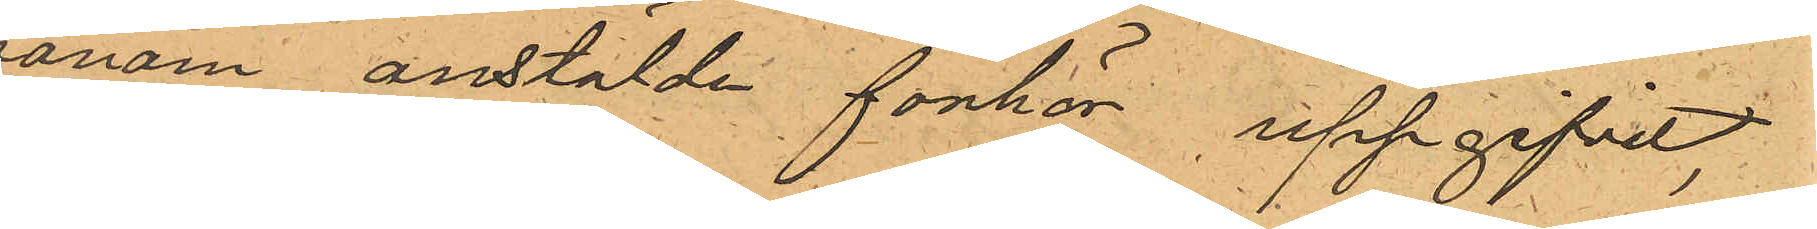honom anstälde förhör uppgifvit,
